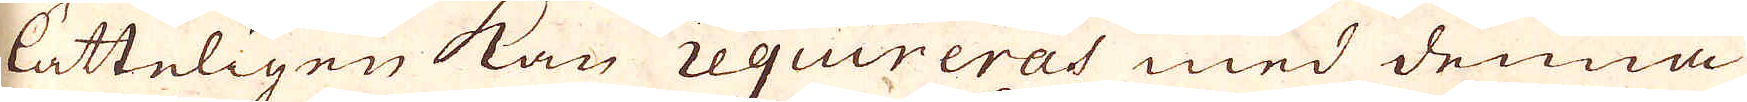lätteligen kan requireras med denna
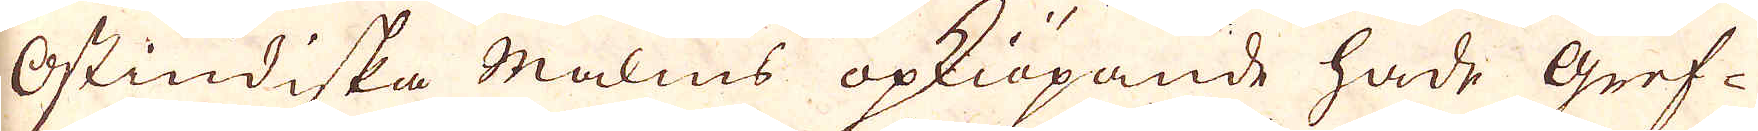Ostindiska Malms opkiöpande hade gref-
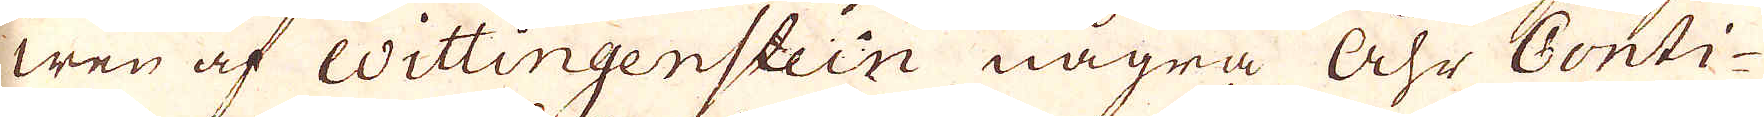wen af Wiitingenstein några Åhr Conti-
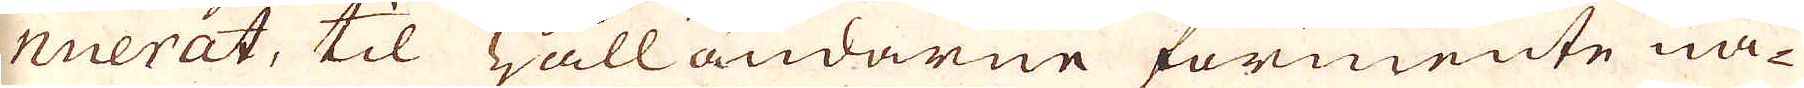nuerat, til Hålländarne förmente nå-
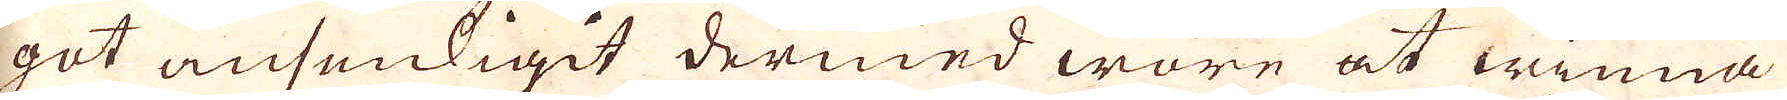got ansenligit dermed wore at winna
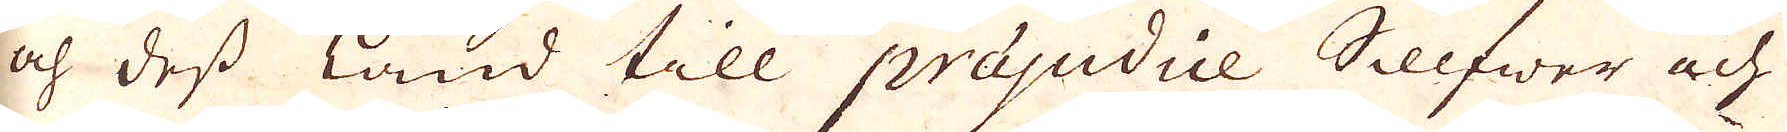och dess Land till präjudice Sillfwer och
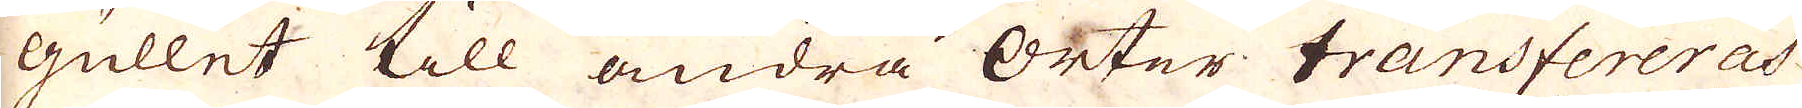Gullet till andra Orter transfereras
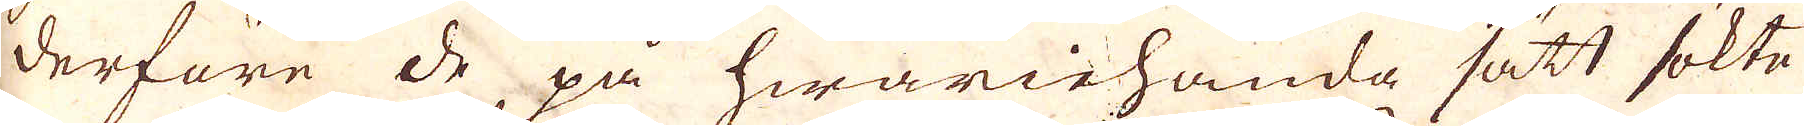derföre de på hwariehanda sätt sökte
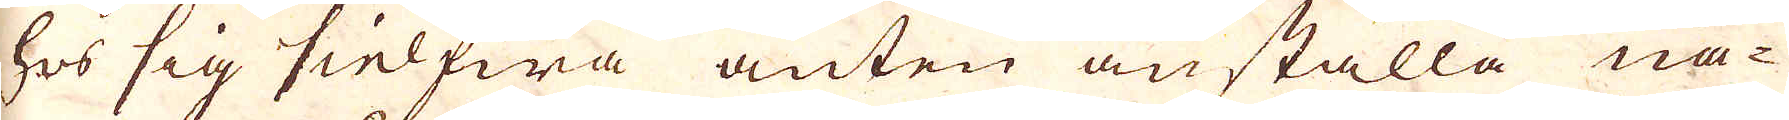hos sig siefwa anten anställa nå-
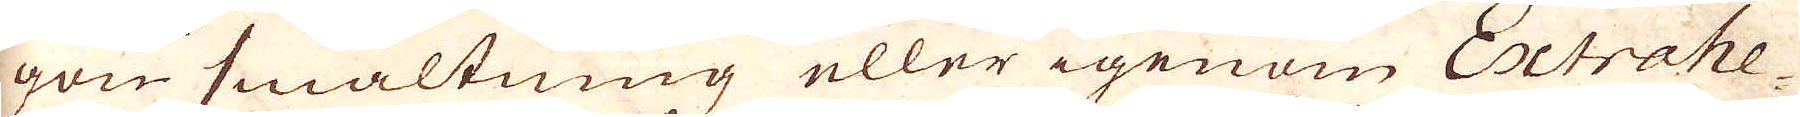gon smältning eller igenom Extrahe-
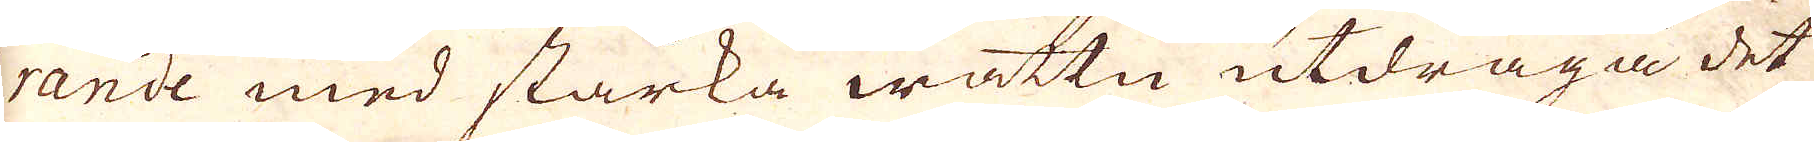rande med starka wattn utdraga det
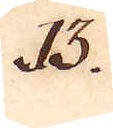13.
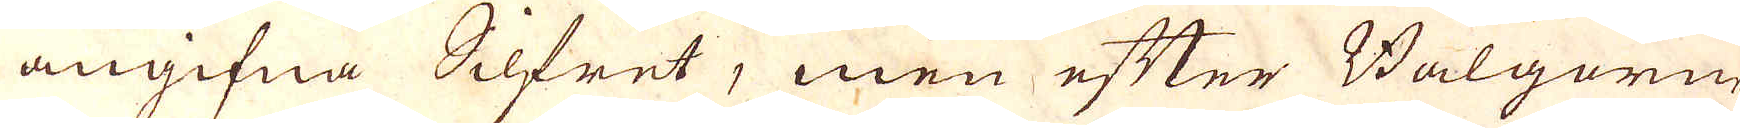angifna Silfret, men efter Bälgerne
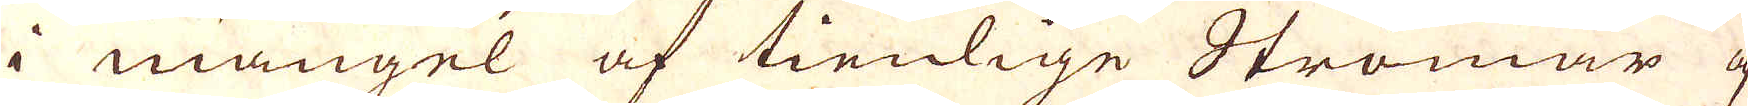i mangel af tienlige Strömar af
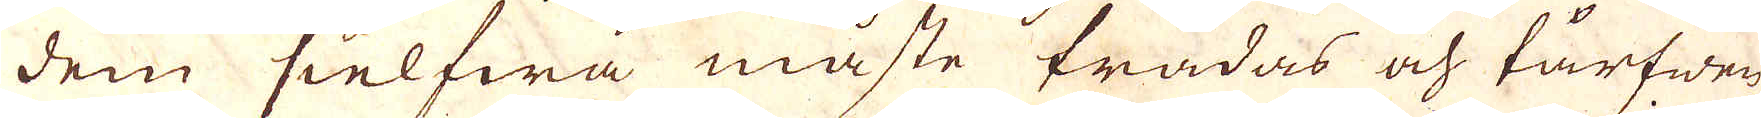dem sielfwa måste trådas och tårfwen
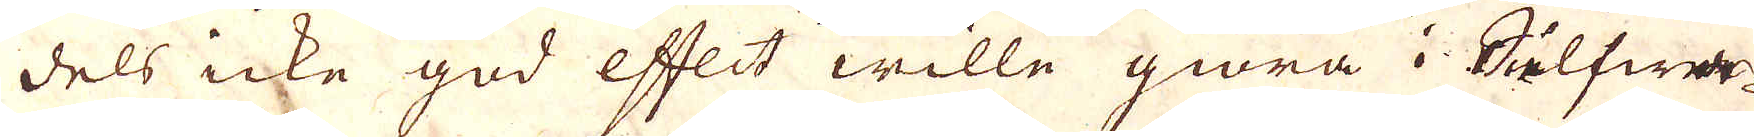dels icke god effect wille giöra i Silfwer-
